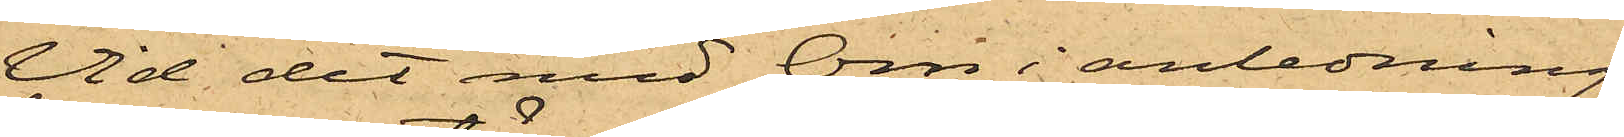Vid det med Örn i anledning
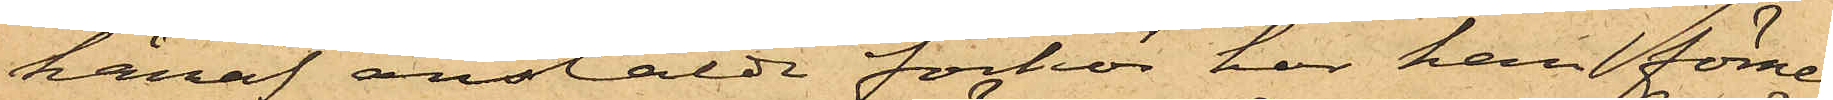häraf anstäldt förhör har han förne¬
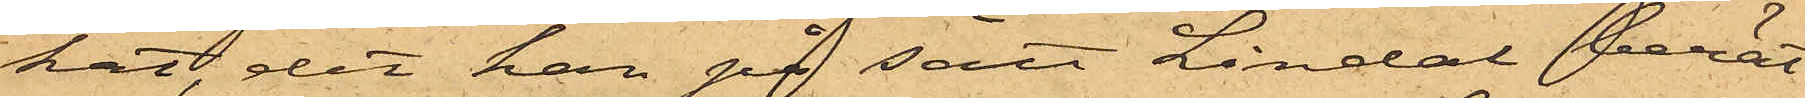kat, det han på sätt Lindal berät¬
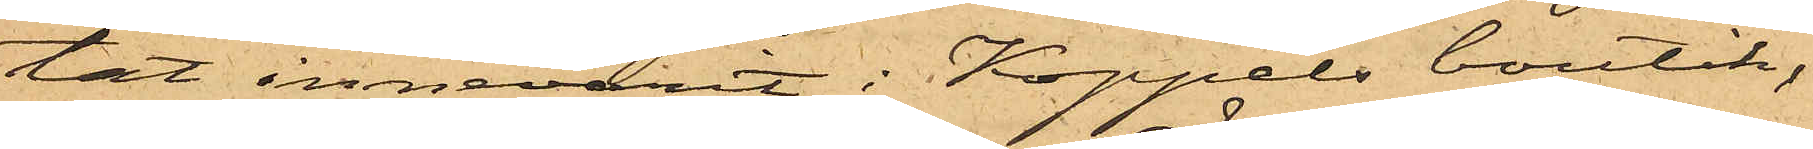tat innevarit i Koppels boutik,
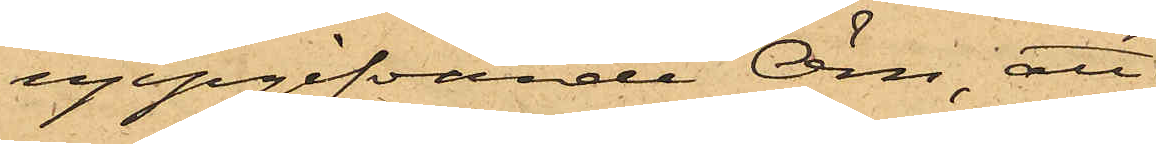uppgifvande Örn; att
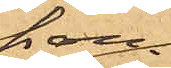han
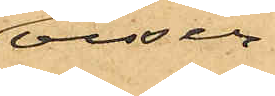visser¬
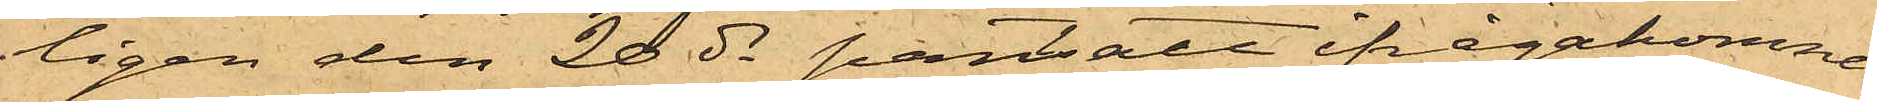ligen den 20 ds pantsatt ifrågakomne
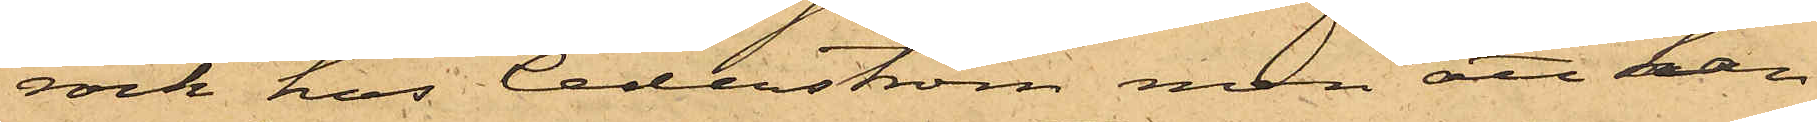rock hos Cederström, men att han
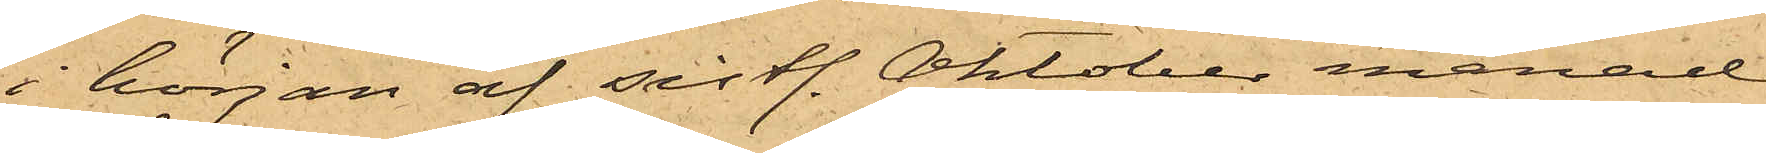i början af sistl. Oktober månad
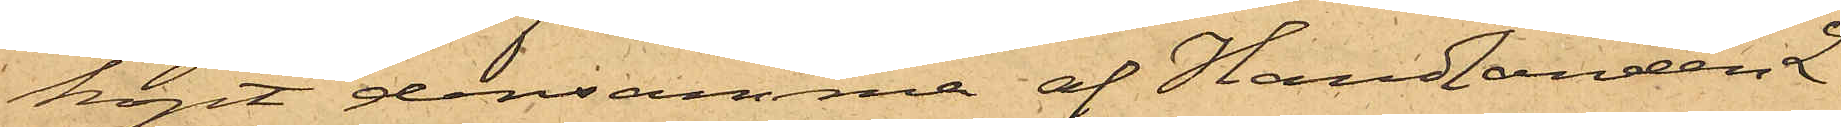köpt densamma af Handlanden L.
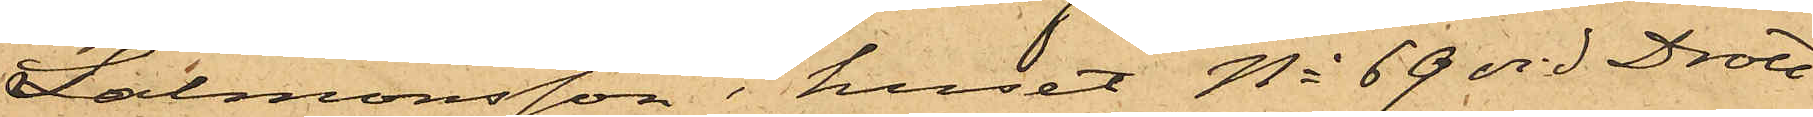Salmonsson i huset No 69 vid Drott¬
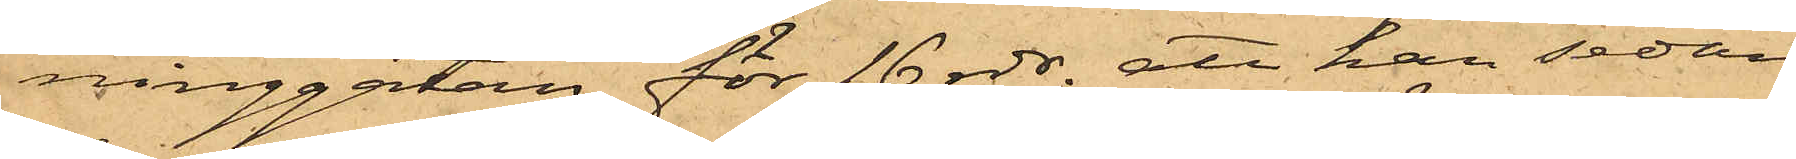ninggatan för 16 rdr, att han sedan
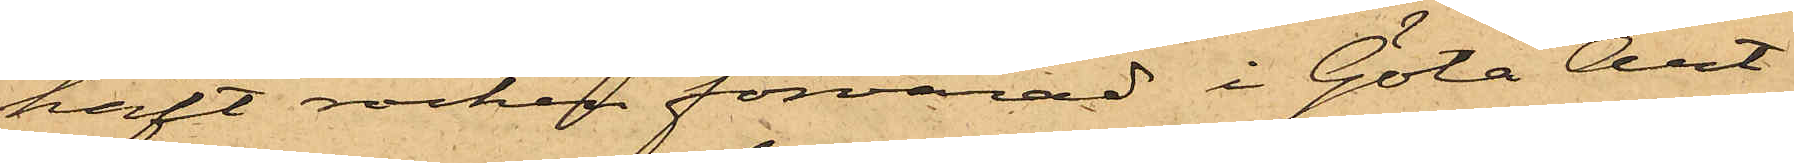haft rocken förvarad i Göta Art.
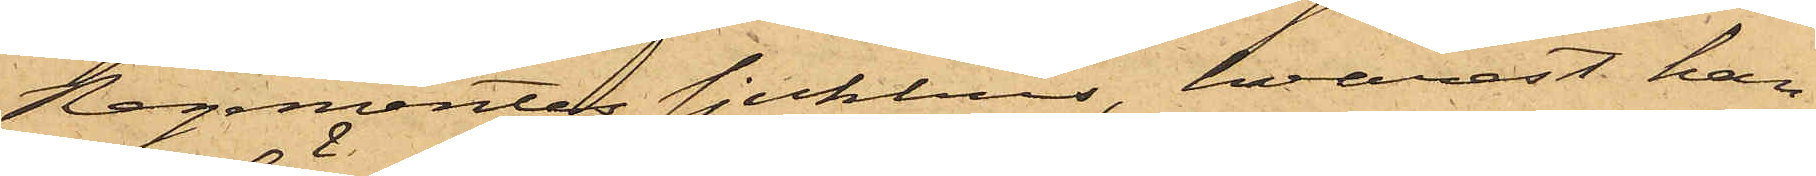Regementes sjukhus, hvarest han
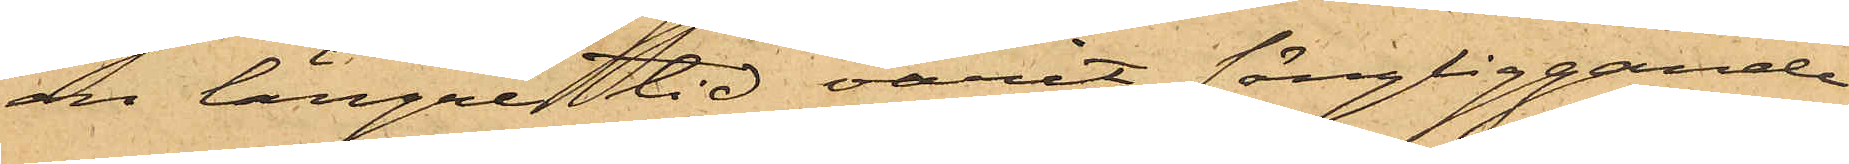en längre tid varit sängliggande
